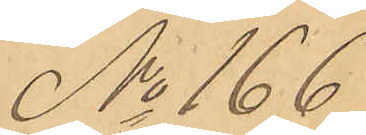No 166
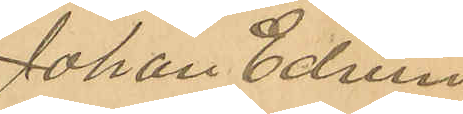Johan Edvin
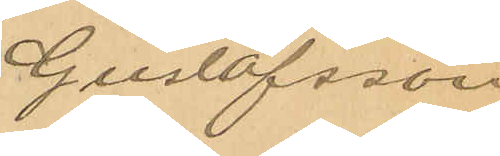Gustafsson
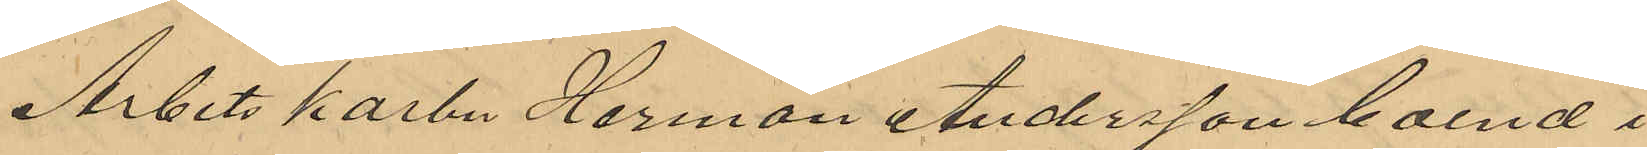Arbetskarlen Herman Andersson boende i
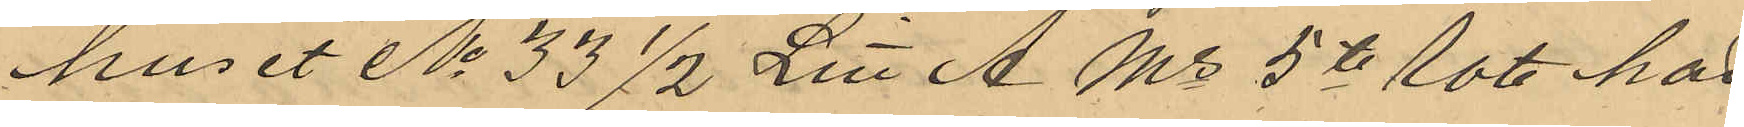huset No 33 1/2 Litt A Ms 5te Rote har
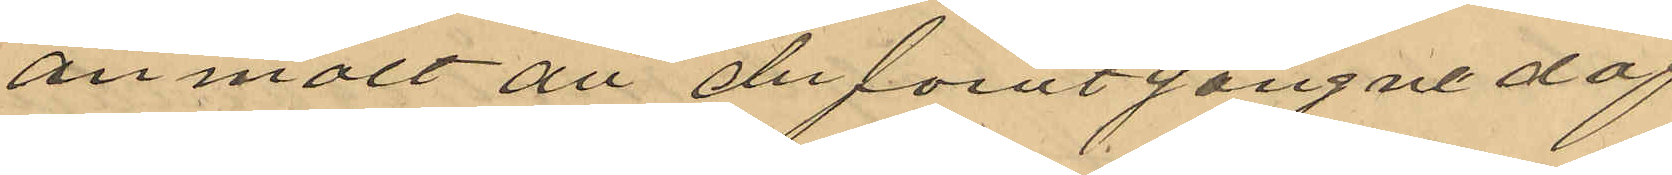anmält att de förutgångne dag
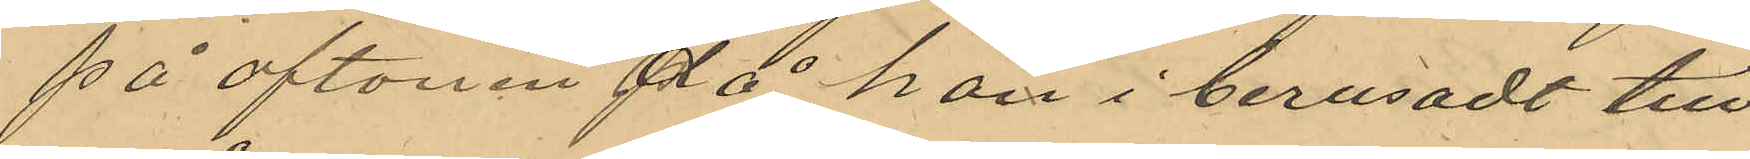på aftonen på han i berusadt till
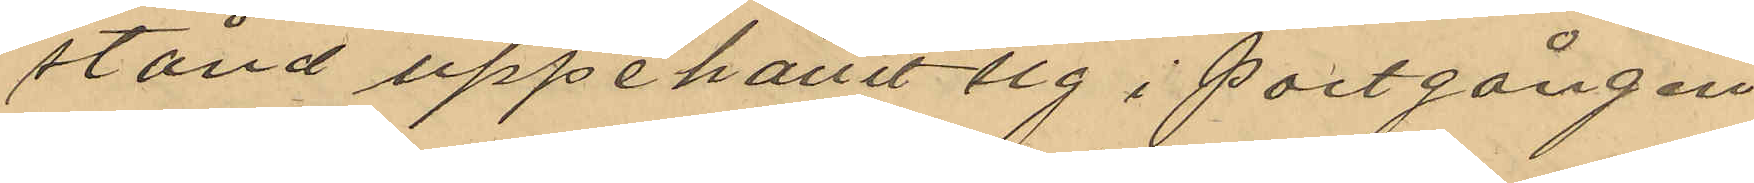stånd uppehållit sig i portgången
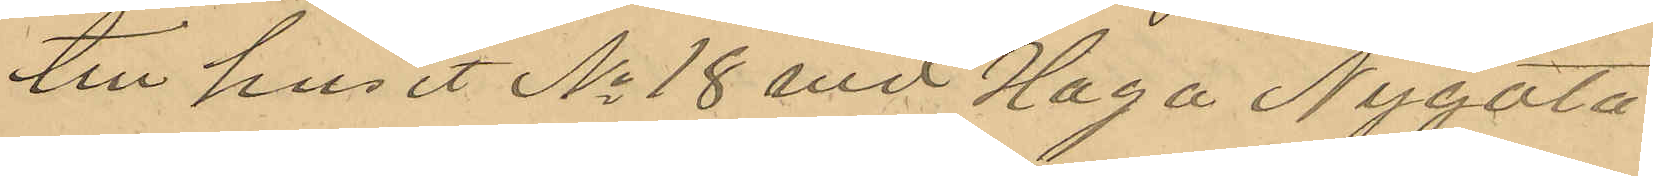till huset No 18 vid Haga Nygata
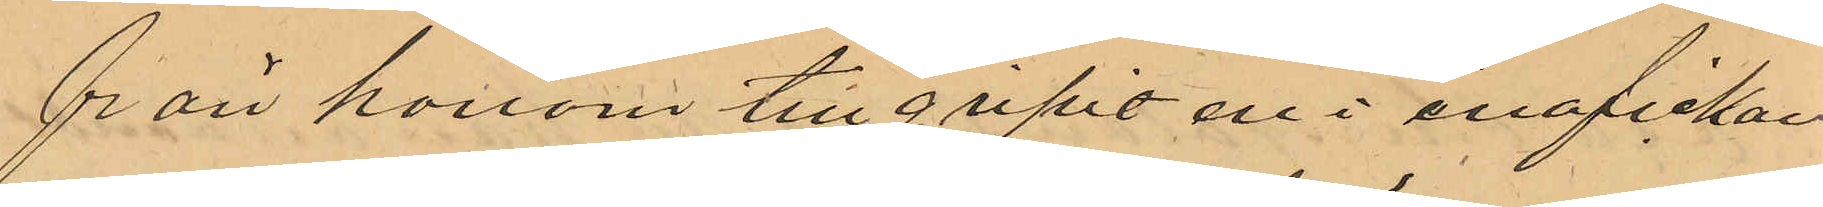från honom tillgripit en i ena fickan 
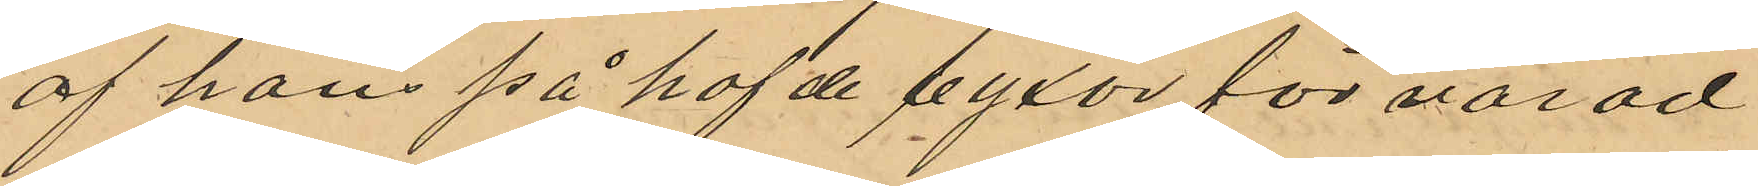af hans på hafde byxor förvarad
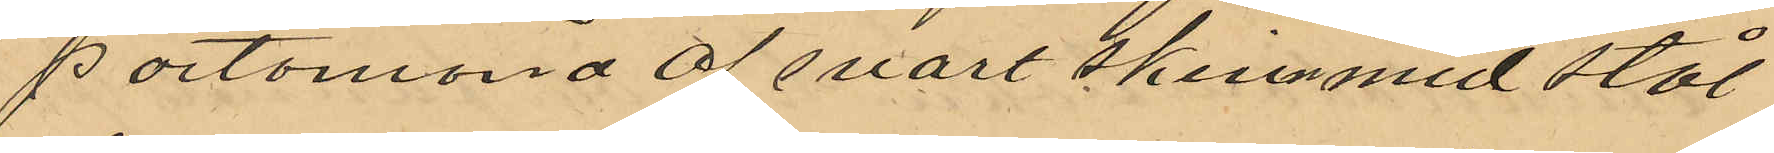portomonä af svart skinn med stål
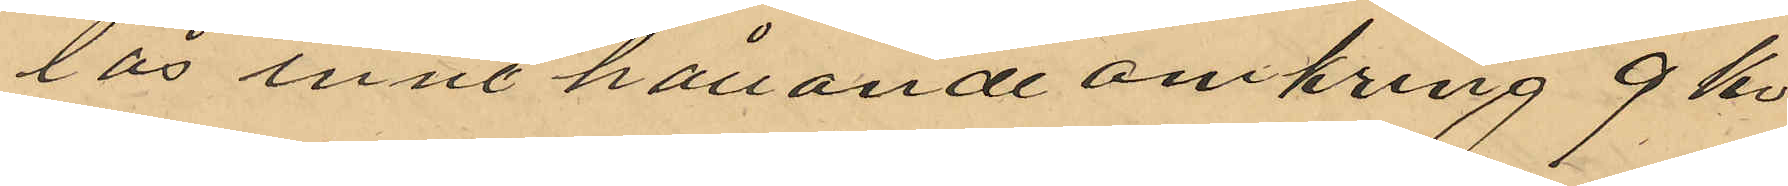lås innehållande omkring 9 kr
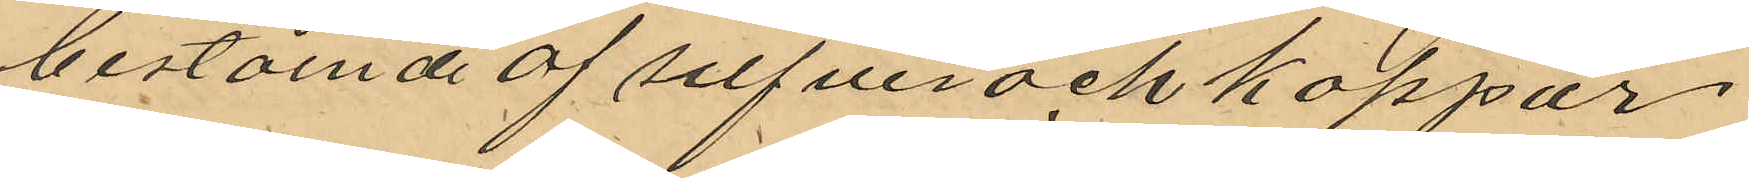bestående af silfver och koppar¬
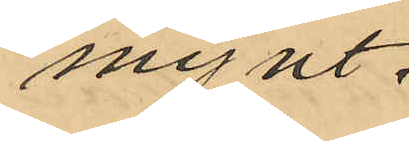mynt.
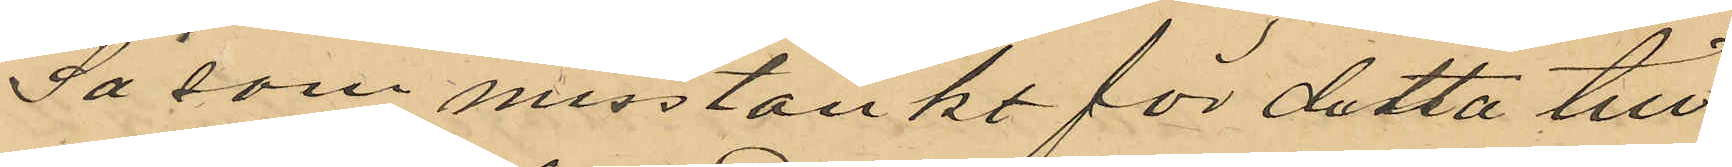Så som misstänkt för detta till¬
